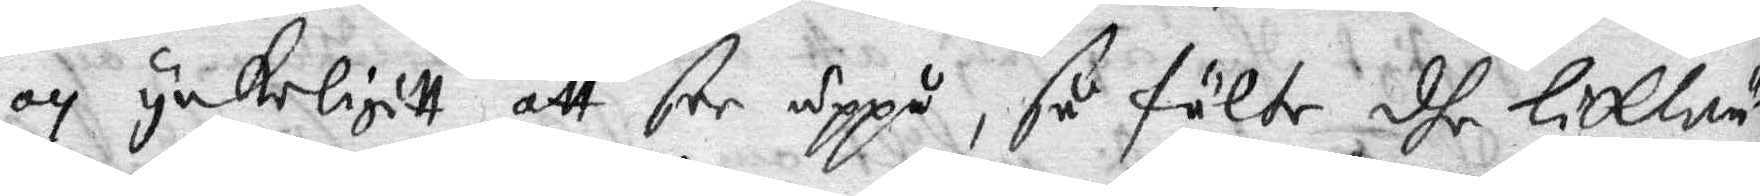och ynkeligitt att Cee uppå, så fälte dhe likwäl
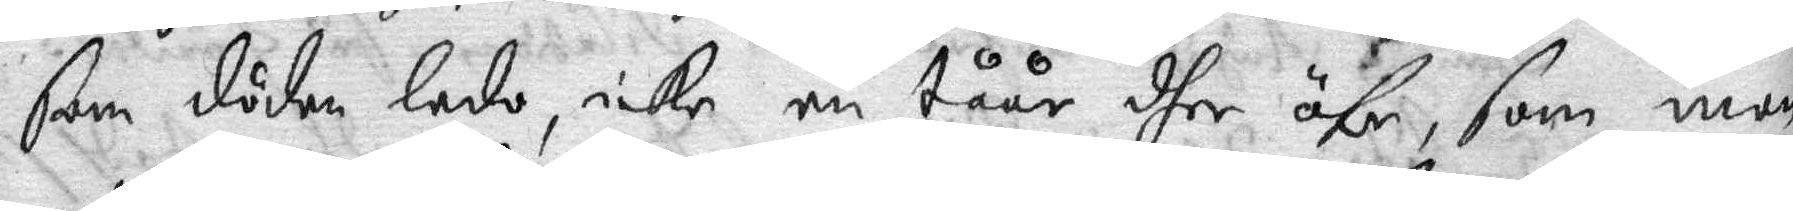som döden ledo, icke en tåår dher öfer, som man
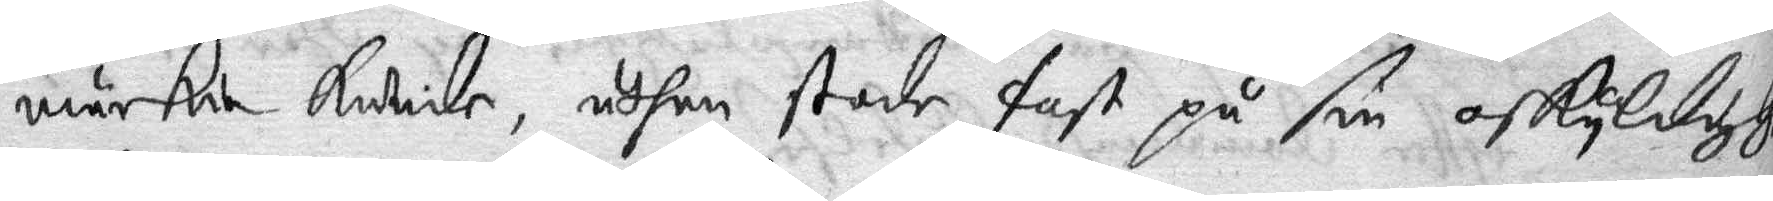märkia kunde, uthan stode fast på sin oskyldighet
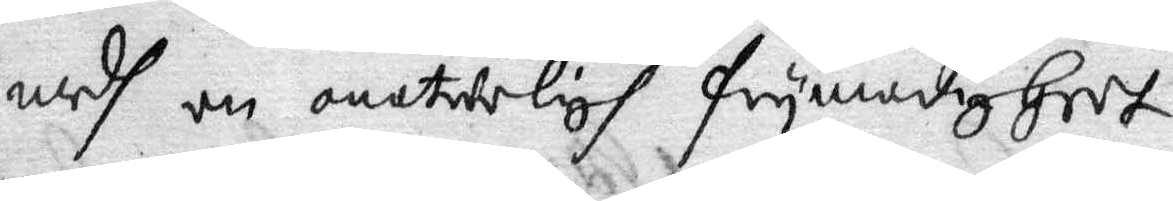medh en onaturligh frymodigheet.
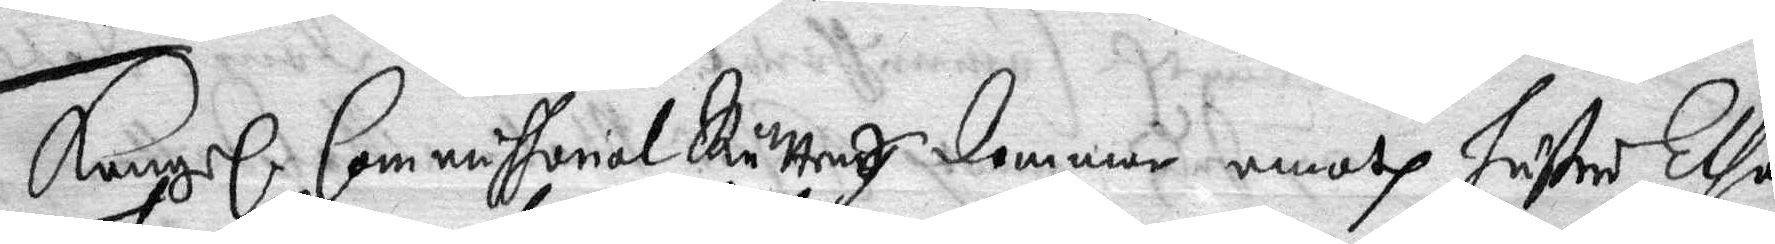Kongl. Commissorial Rättens dommar emoth hustru Elsa
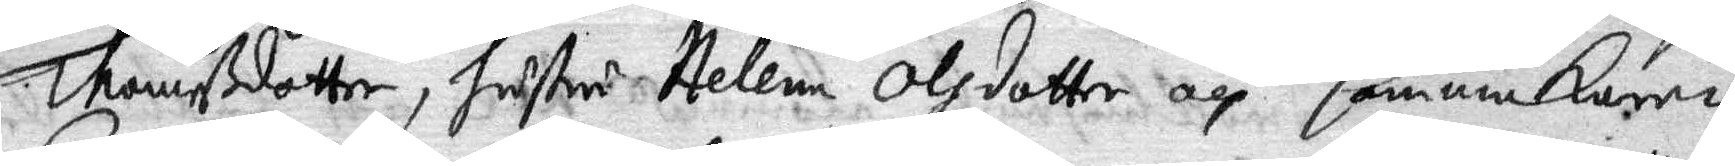Thomasdotter, hustru Helena Olsdotter och Cammakaren
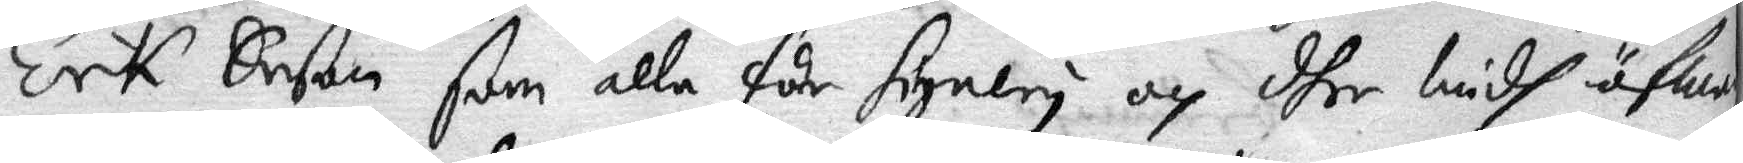Erik Erson som alla får signery och dher widh äfwen
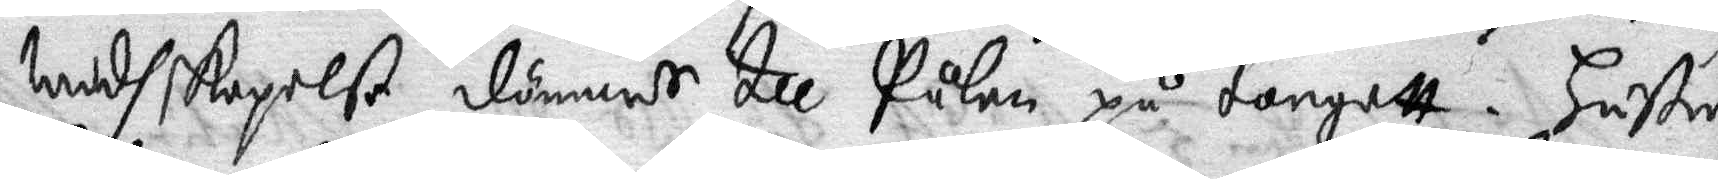Widskepelse dömmes till Pålen på torgett. Hustur
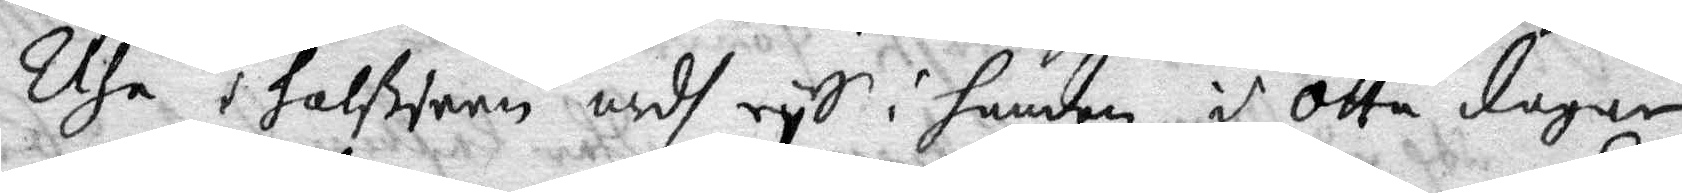Elsa i halsjern medh rys i handen i ottadagar
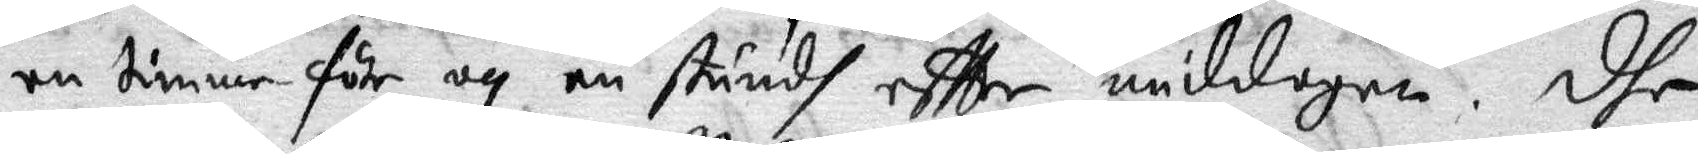en timme före och en stundh effter middagne, dhe
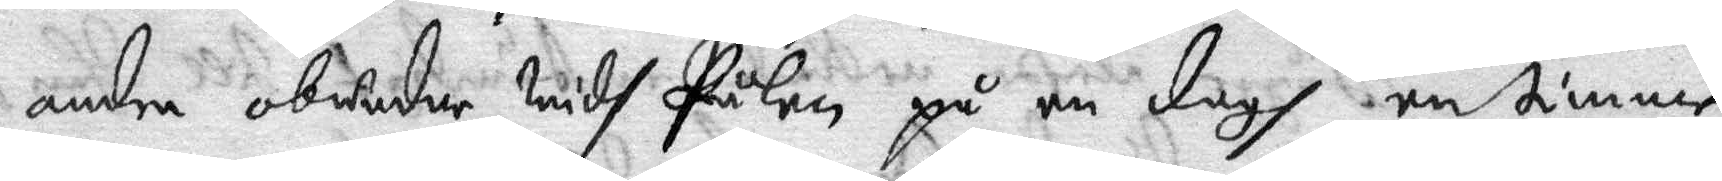andra obundne widh Pålen på en dagh en timme
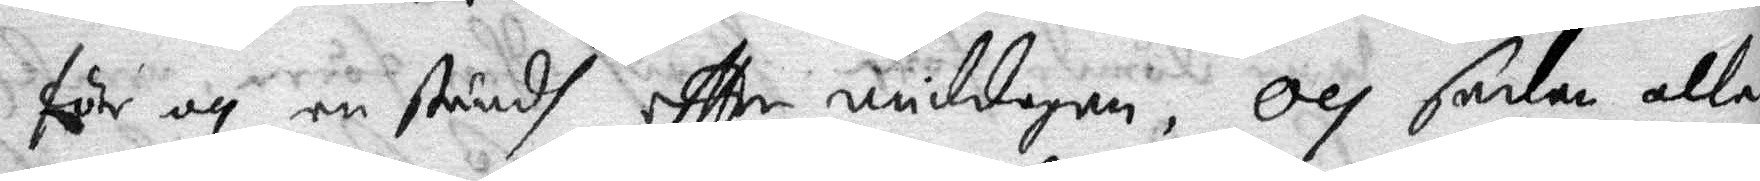för och en stundh effter middagen, Och sedan alla
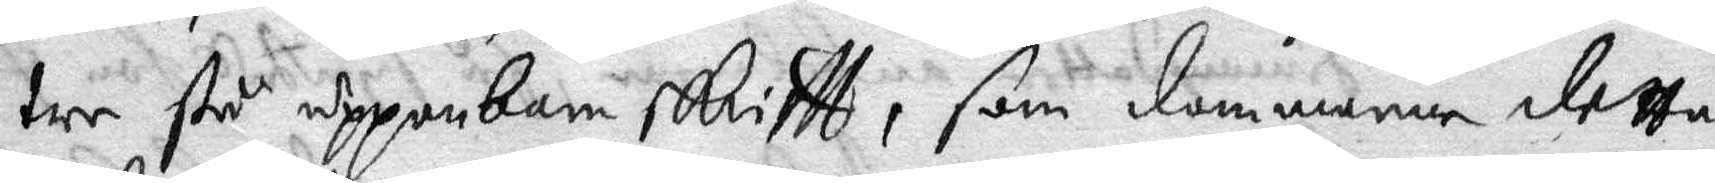tre stå uppenbar skrifft, som dommarne detta
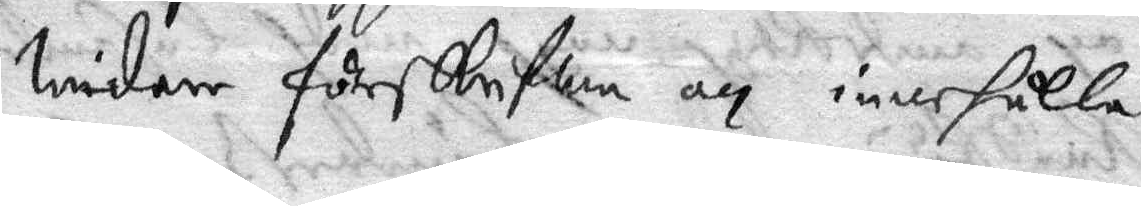widare förskrifwa och innehålla.
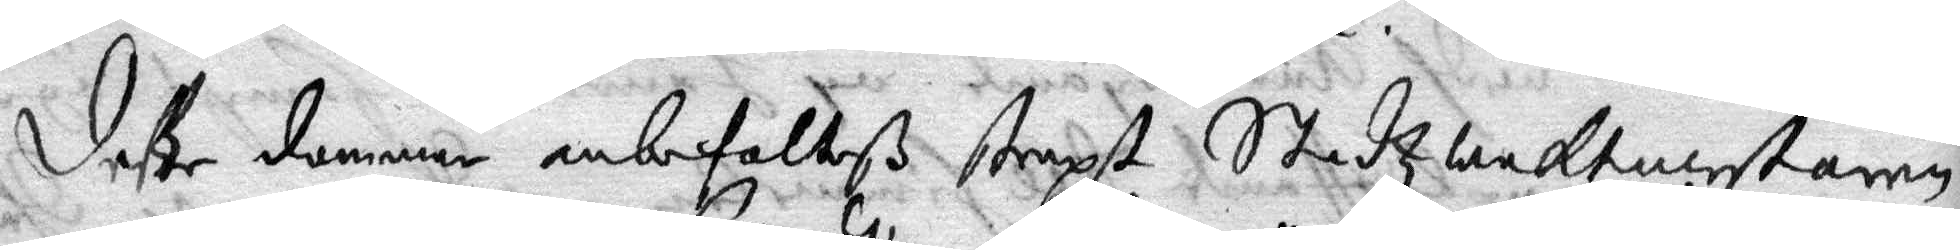deße dommar anbefalteß straxt Stadzwaktmestaren
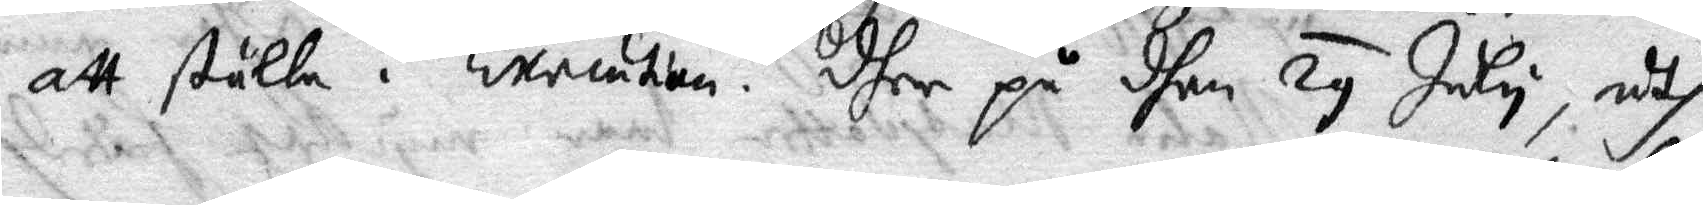att ställa i Execution. dher på dhen 29 July, uth¬
